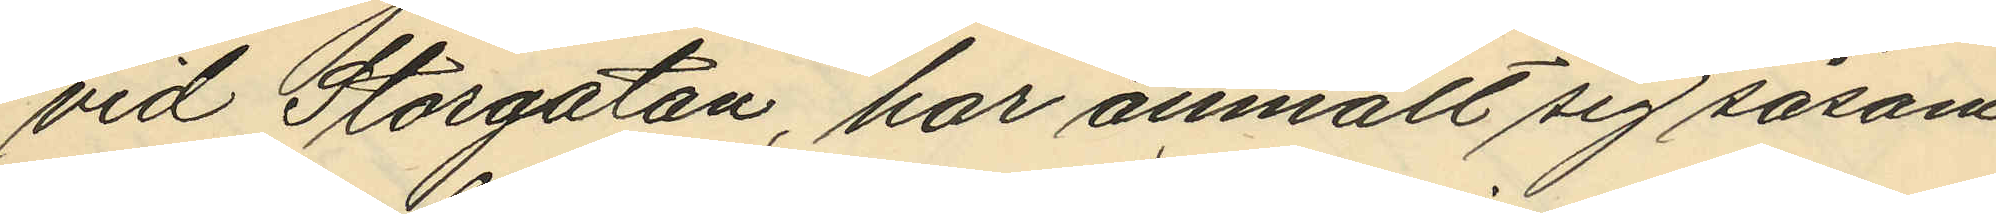vid Storgatan, har anmält sig såsom
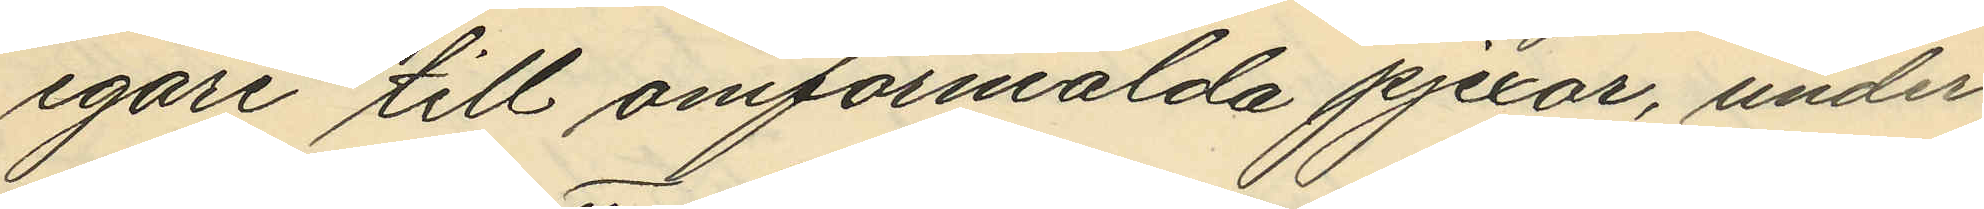egare till omförmälda pjexor, under
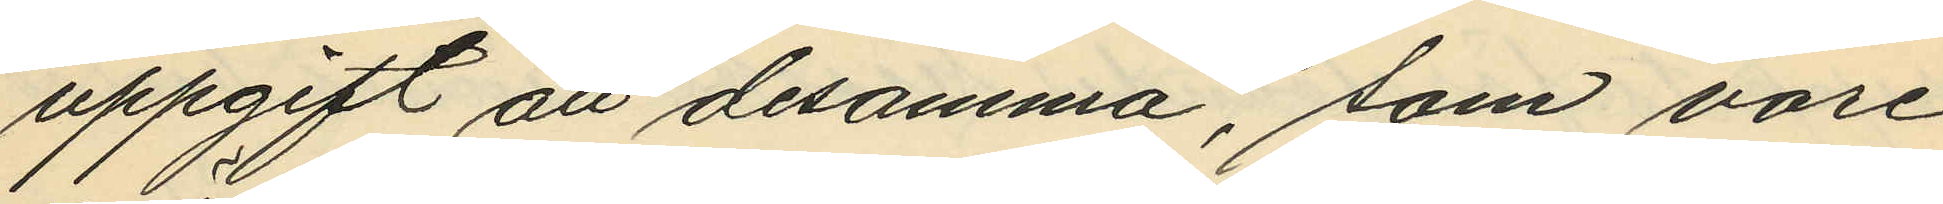uppgift att desamma, som vore
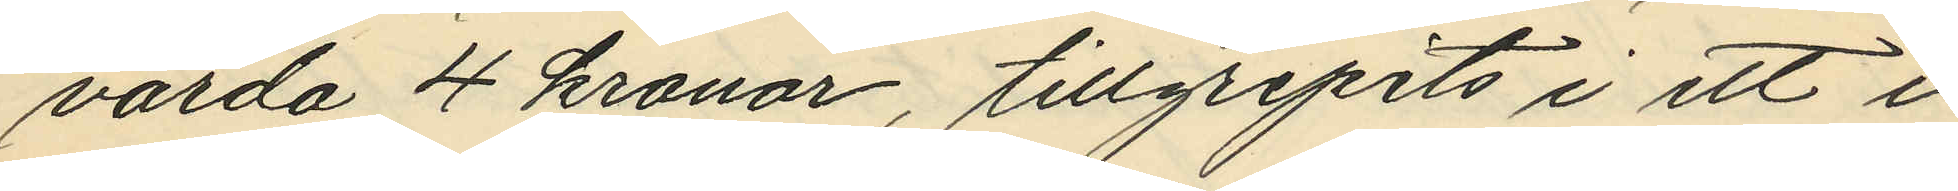värda 4 kronor, tillgripits i ett i
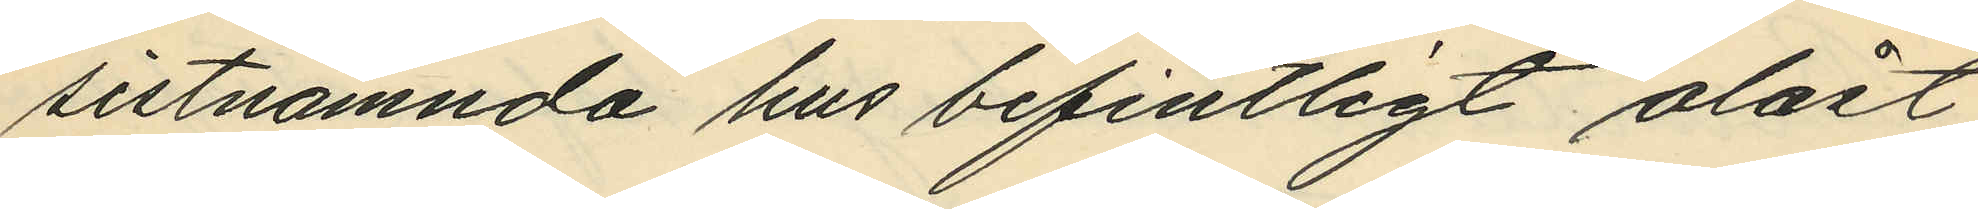sistnämnda hus befintligt olåst
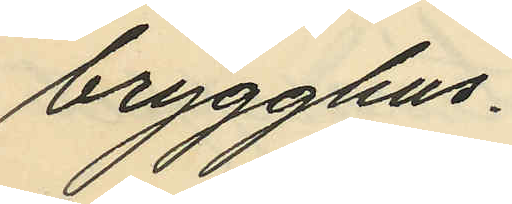brygghus.
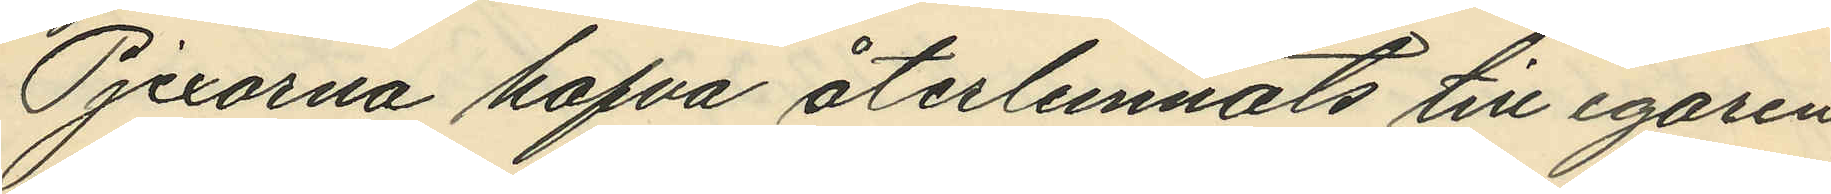Pjexorna hafva återlemnats till egaren
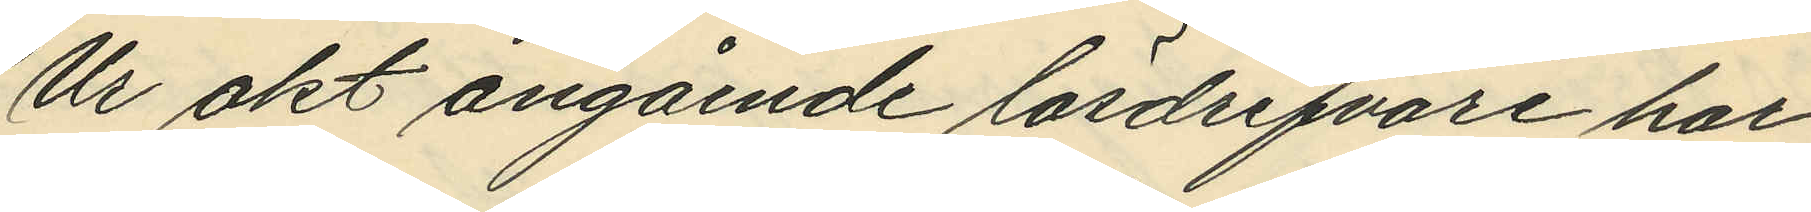Ur akt angående lösdrifvare har
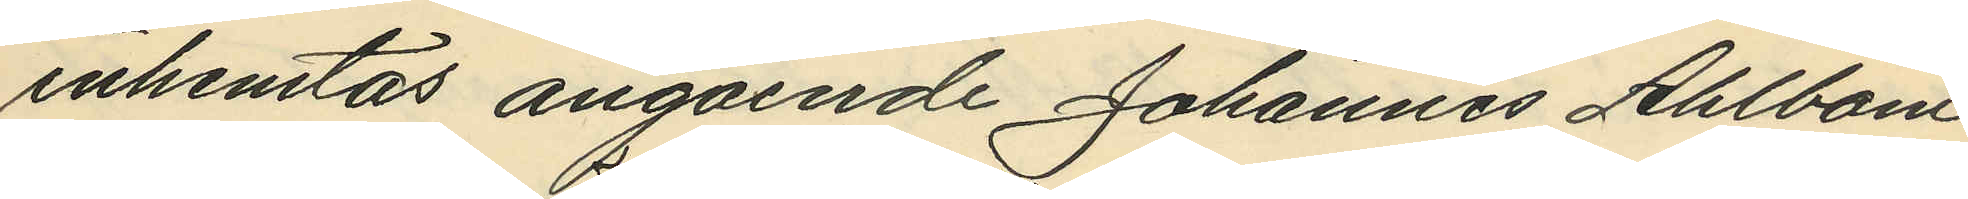inhemtas angående Johannes Ahlbom,
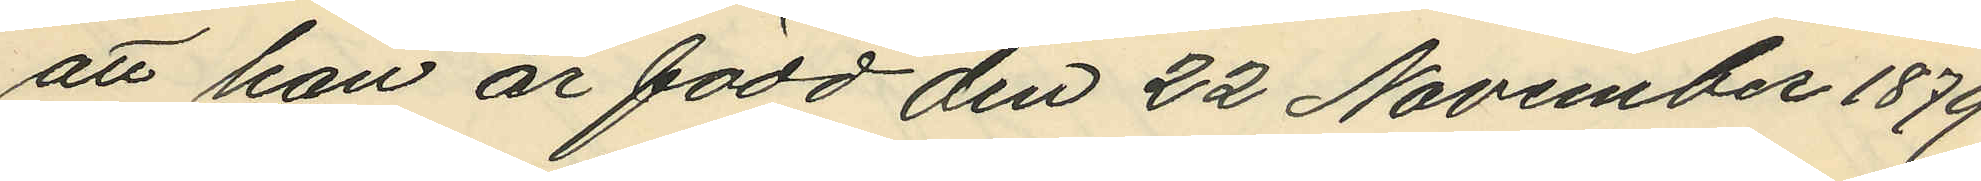att han är född den 22 November 1879
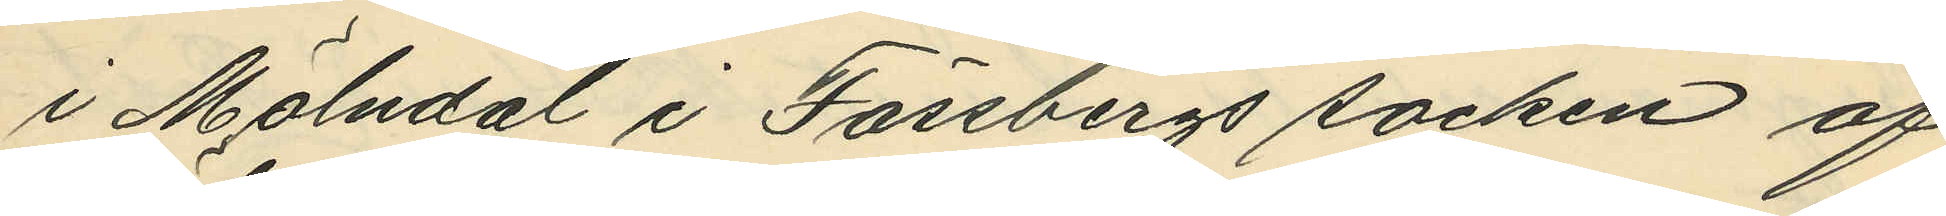i Mölndal i Fässbergs socken af
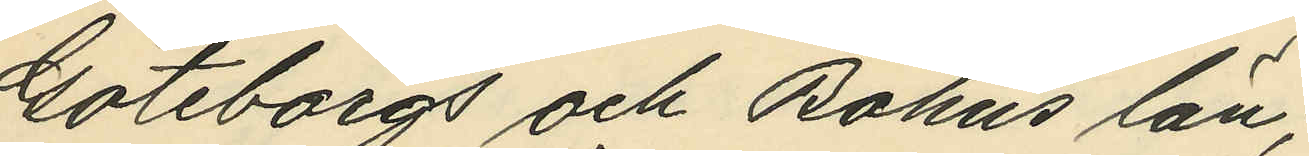Göteborgs och Bohus län;
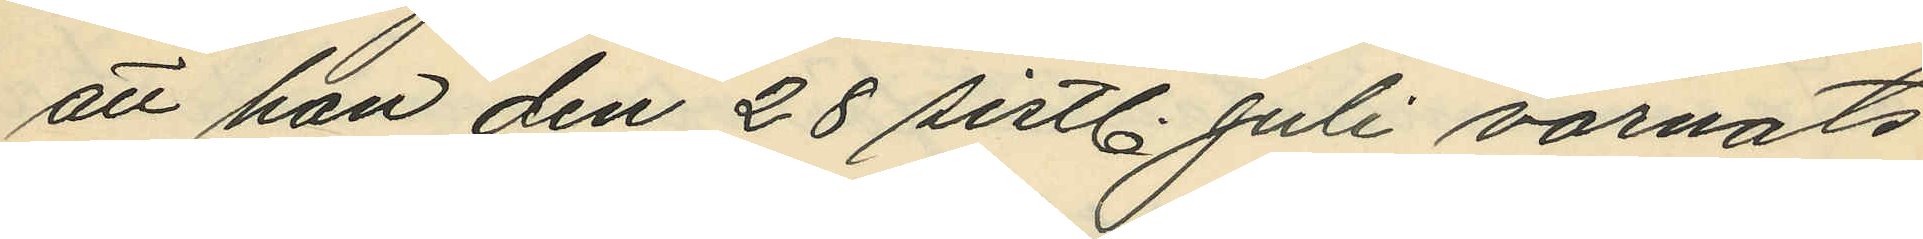att han den 28 sistl. Juli varnats
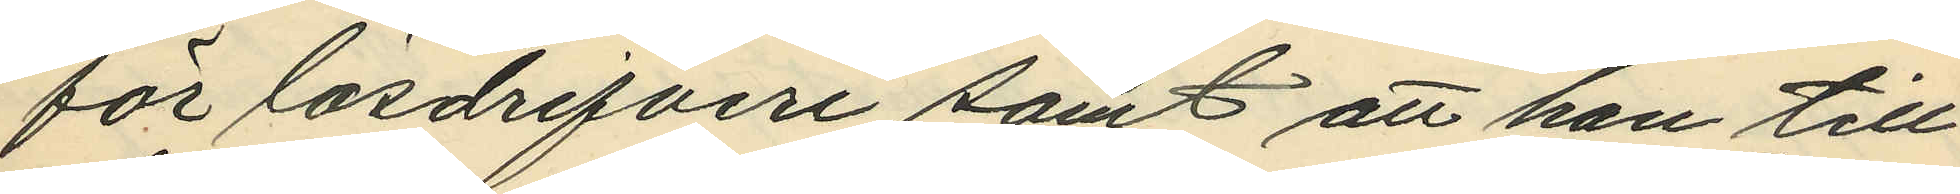för lösdrifveri samt att han till¬
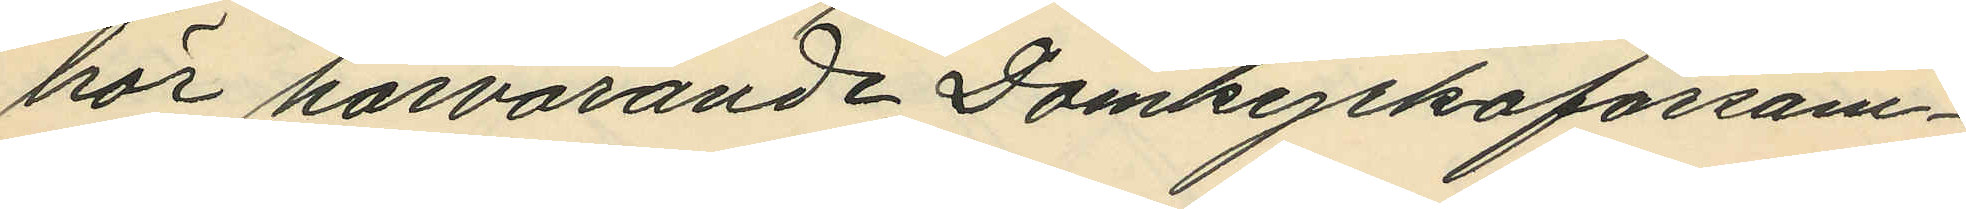hör härvarande Domkyrkoförsam¬
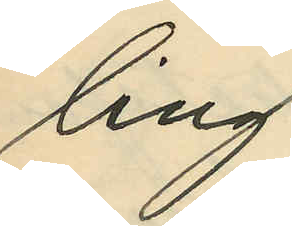ling
